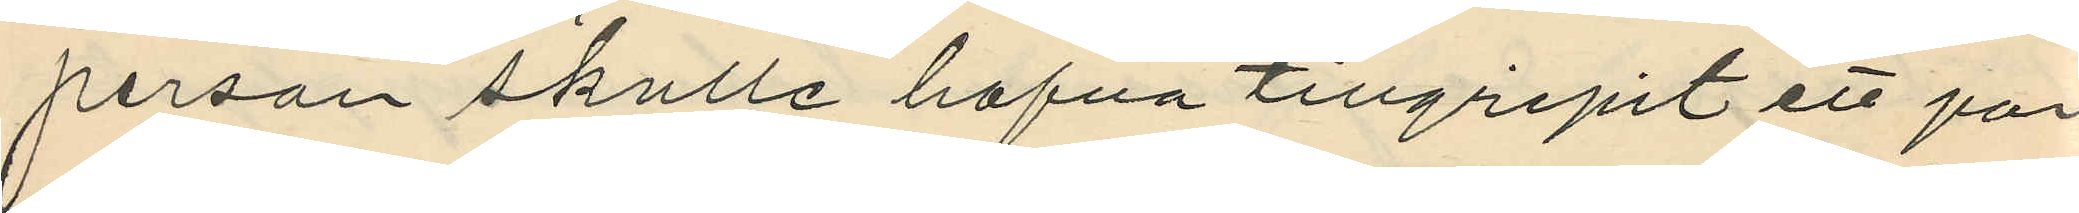person skulle hafva tillgripit ett par
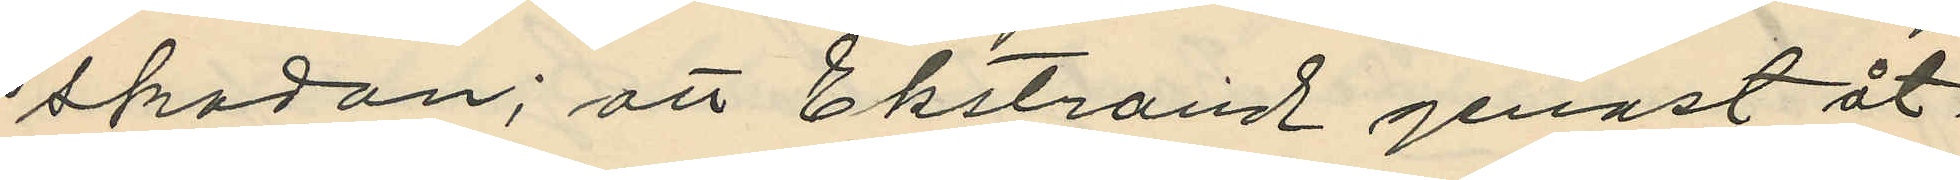skodon; att Ekstrand genast åt¬
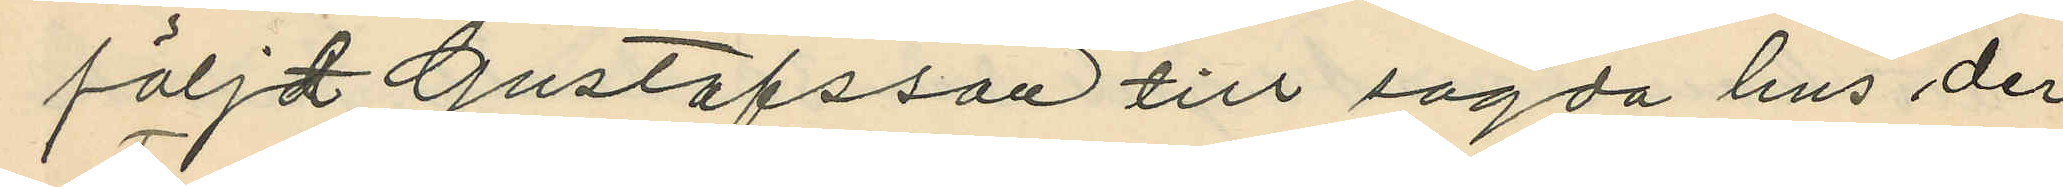följdt Gustafsson till sagda hus der
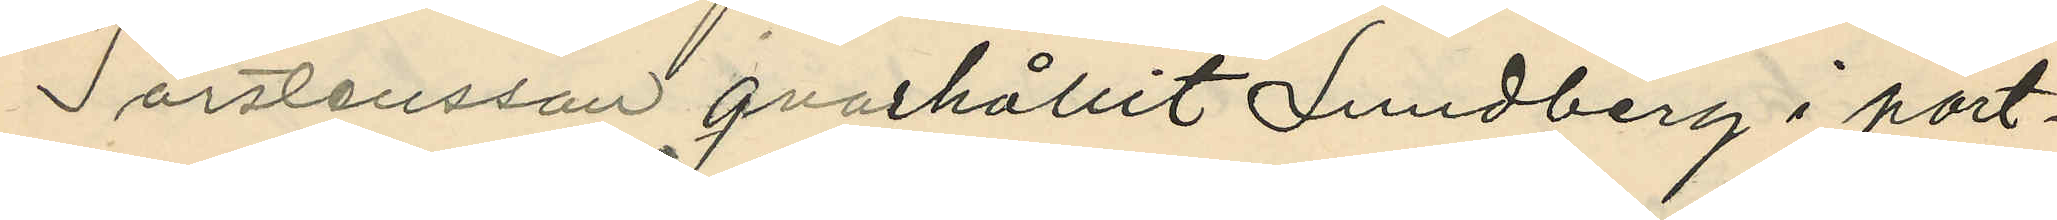Torstensson qvarhållit Lundberg i port¬
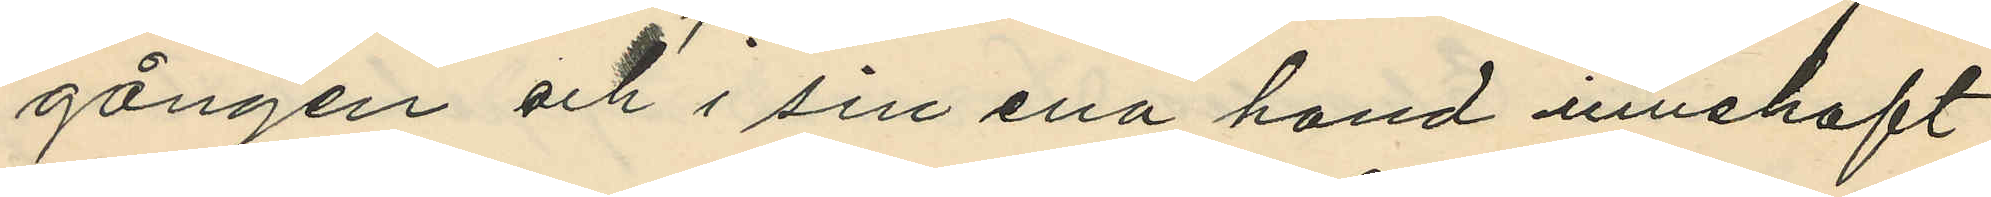gången och i sin ena hand innehaft
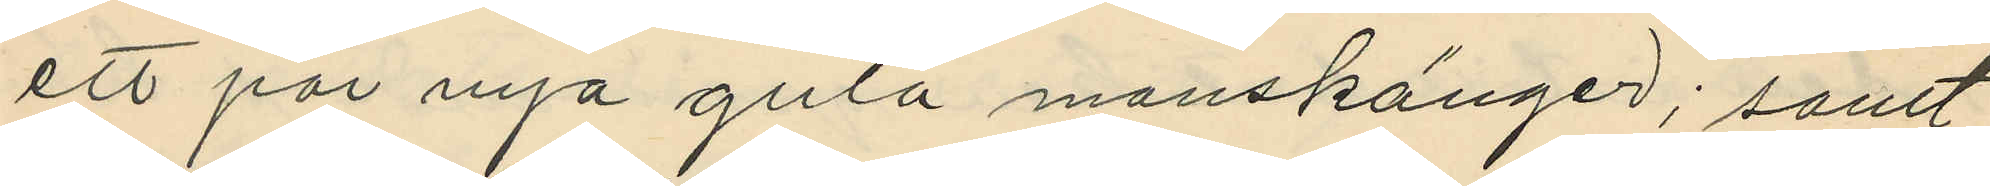ett par nya gula manskänger; samt
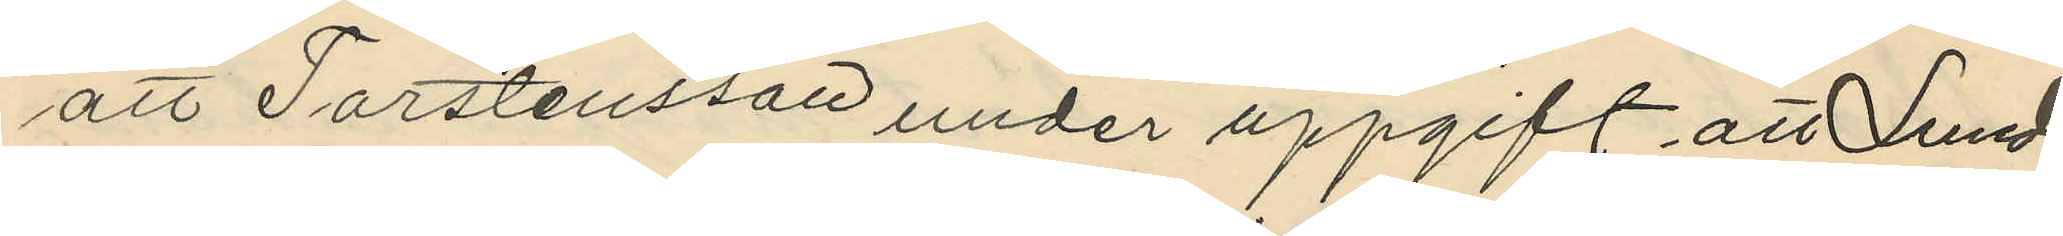att Torstensson under uppgift att Lund¬
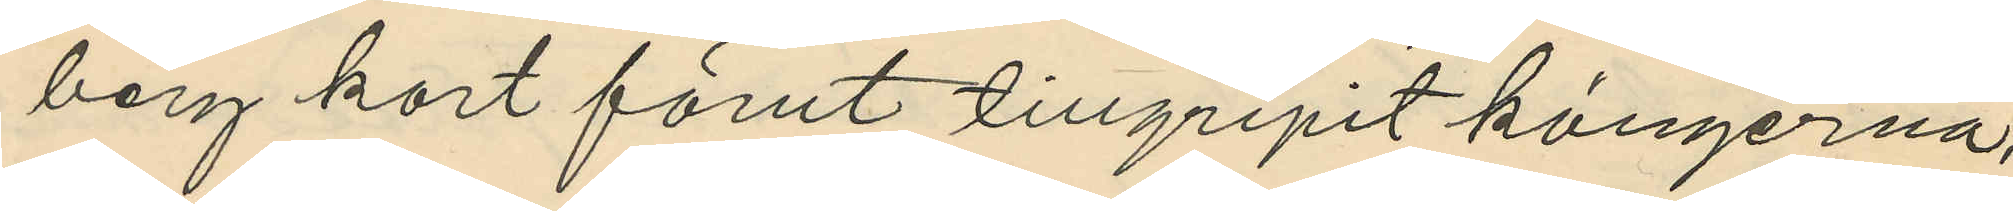berg kort förut tillgripit kängerna,
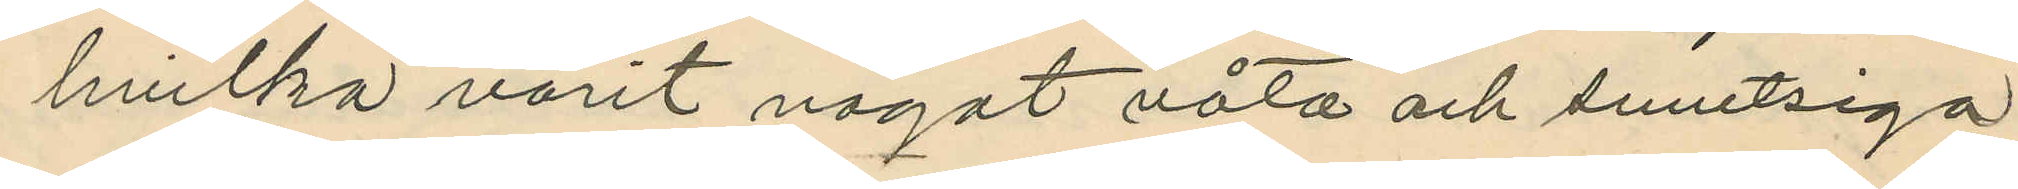hvilka varit något våta och smutsiga
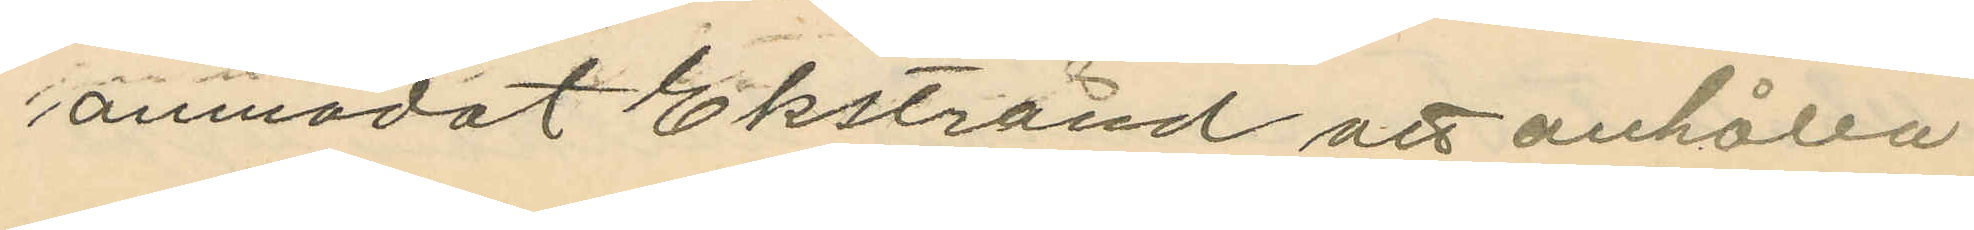anmodat Ekstrand att anhålla
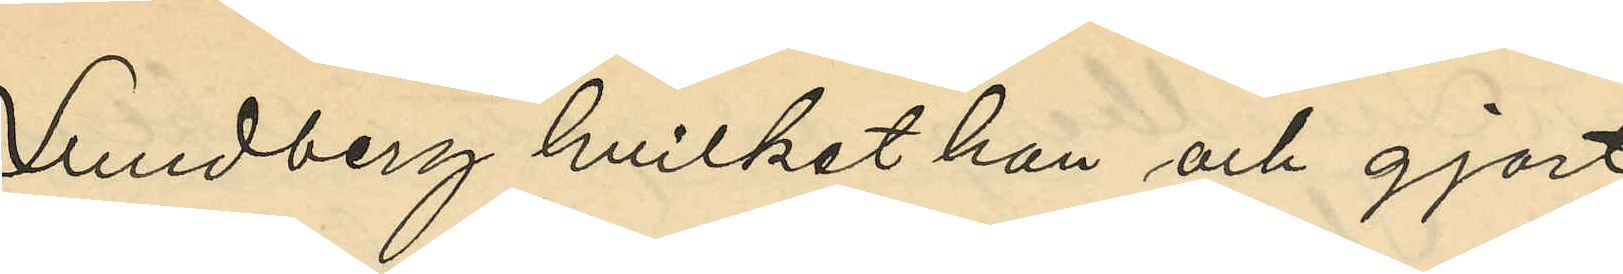Lundberg hvilket han och gjort
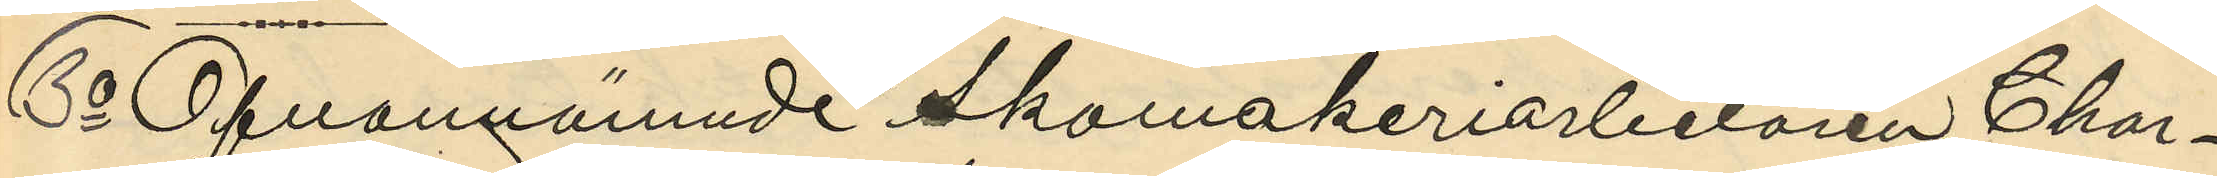3o Ofvannämnde Skomakeriarbetaren Char¬
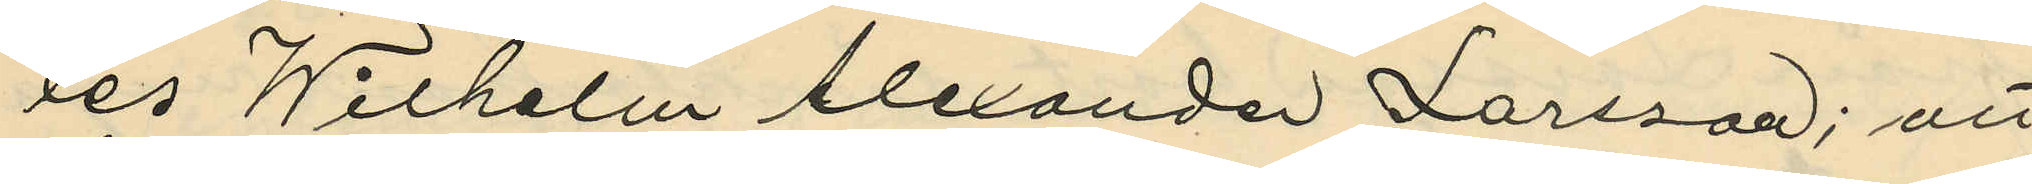les Wilhelm Alexander Larsson; att
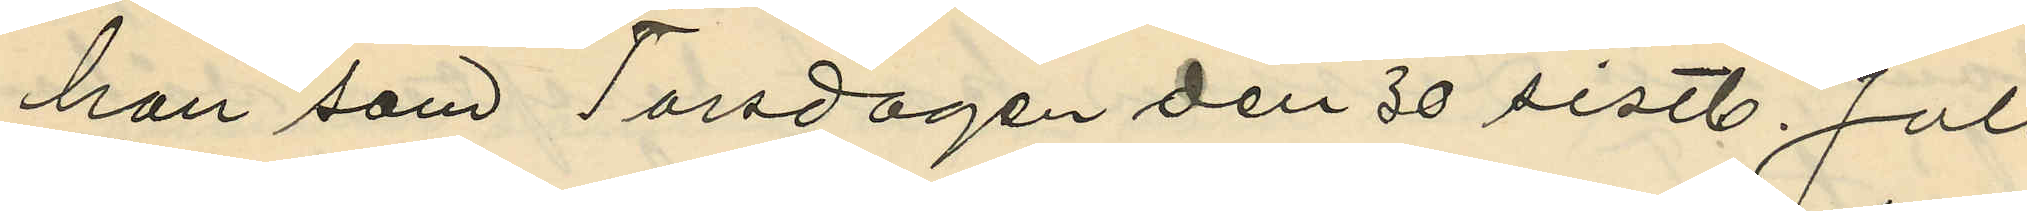han som Torsdagen den 30 sistl. Juli
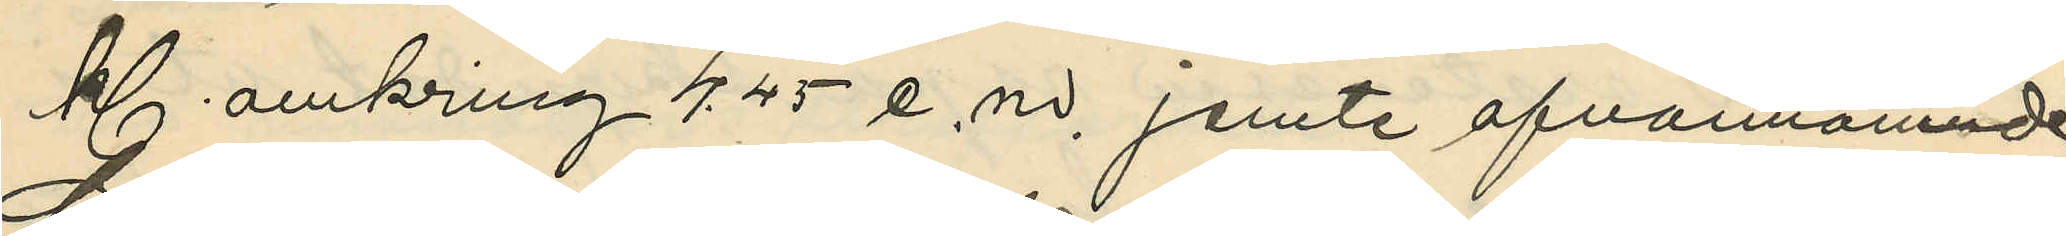kl. omkring 4.45 e.m. jemte ofvannämnde
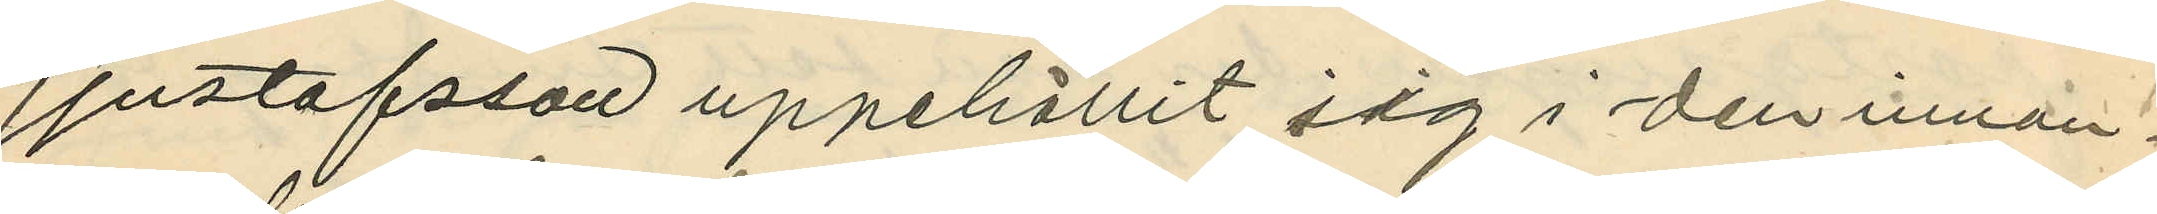Gustafsson uppehållit sig i den innan¬
